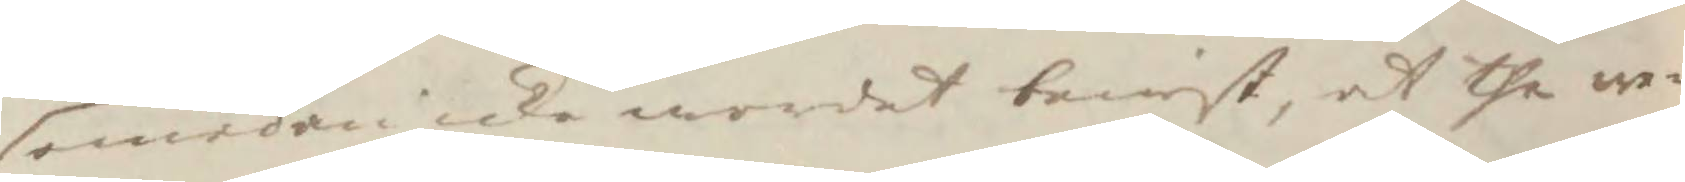emedan icke wordet bewist, at the we¬
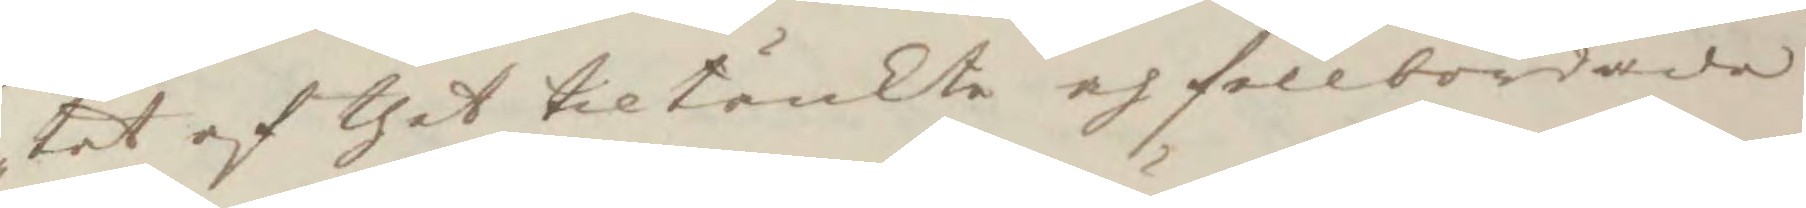tet af thet tiltänkte och fullbordade
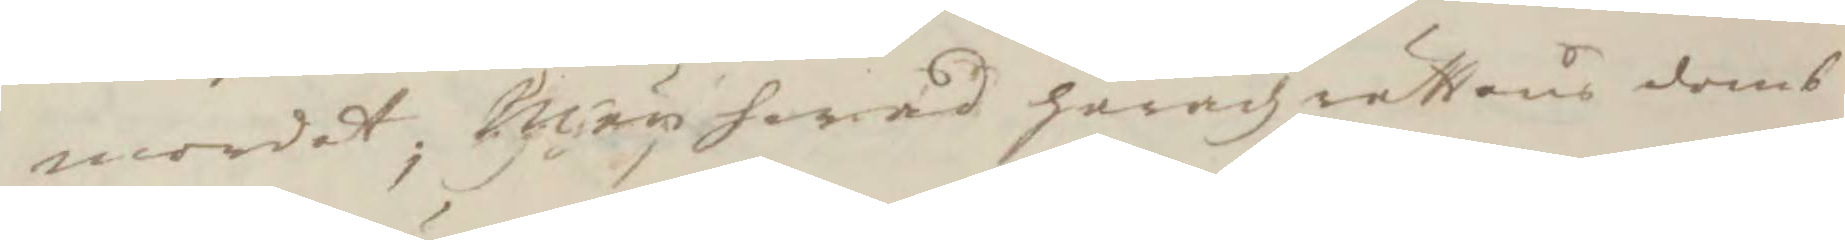mordet, Män hwad häradz rättens domb
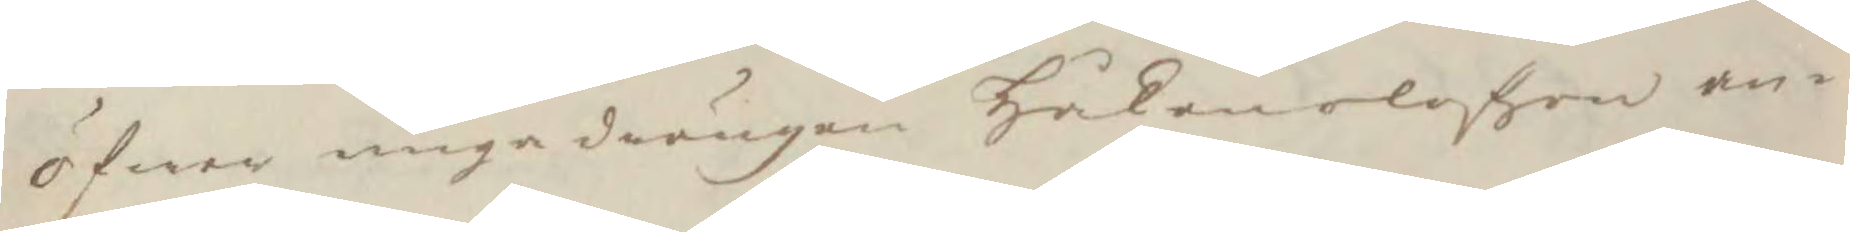öfwer unge drängen Håkan olofzon an¬
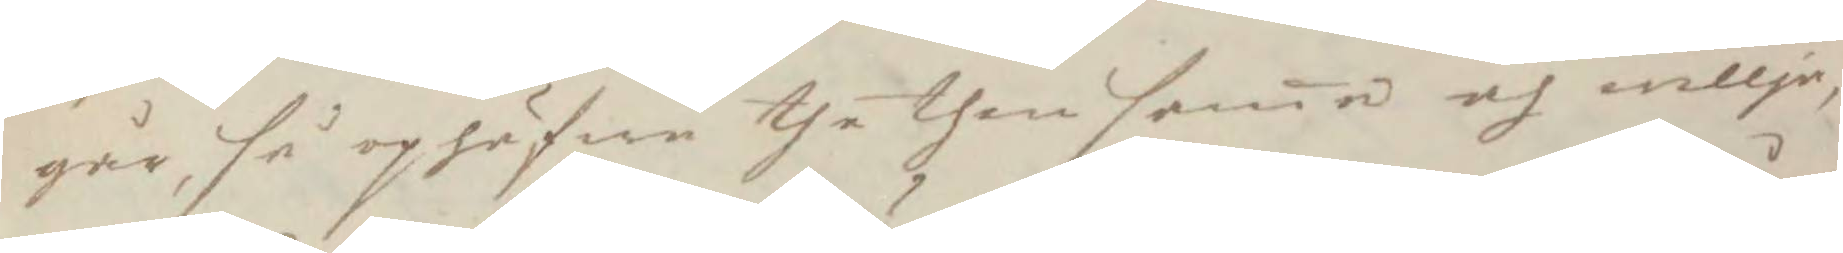går, så ophäfwa the then sama och willja,
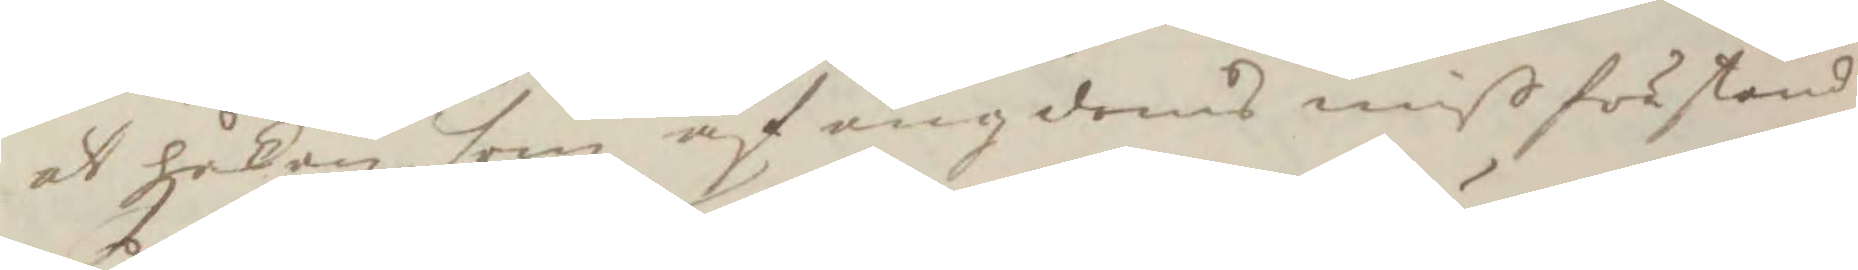at håkan, som af ungdoms miß förstånd
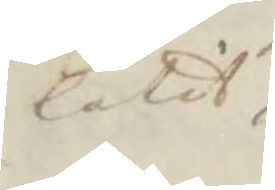låtit
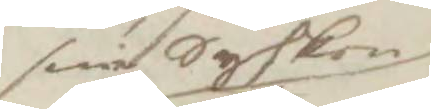sine Syskon
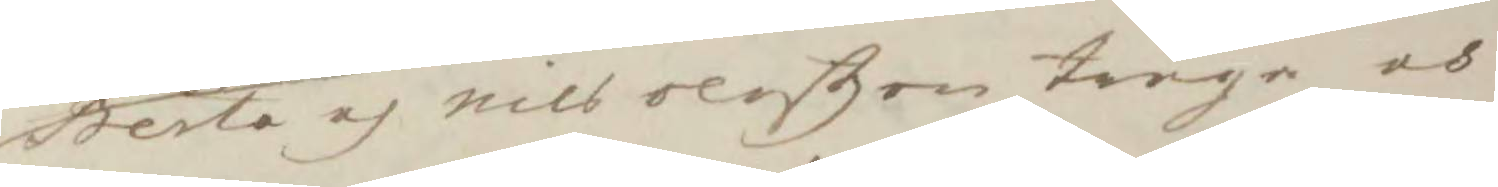Berta och nils oloßon truga och
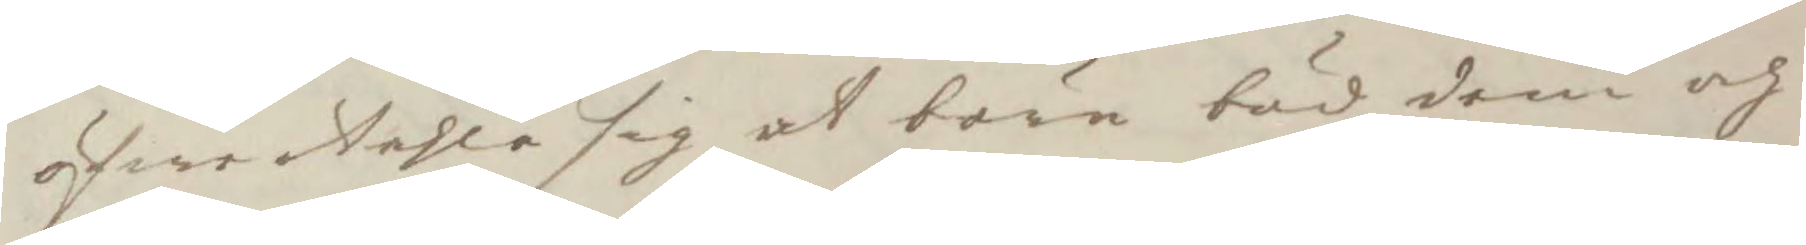öfwertahla sig at bära bud dem och
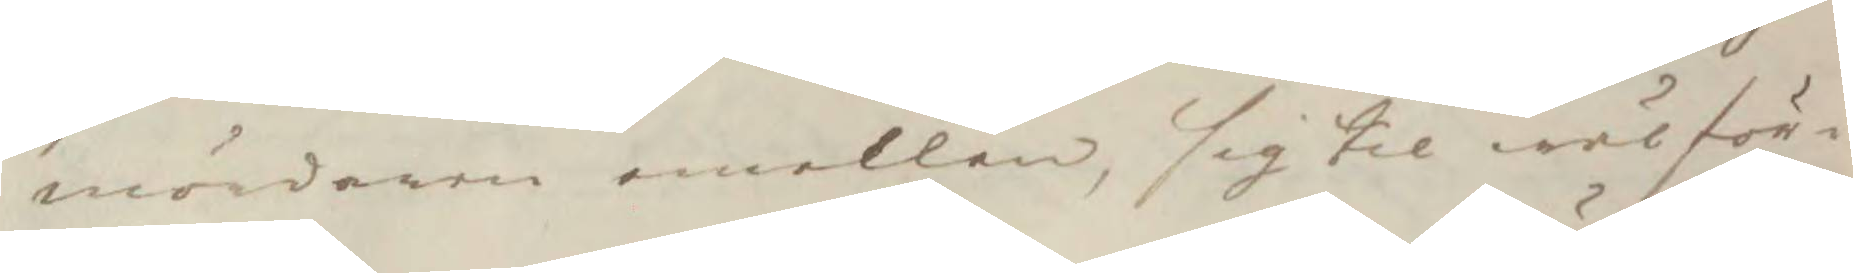mördaren emellen, sig til wälför¬
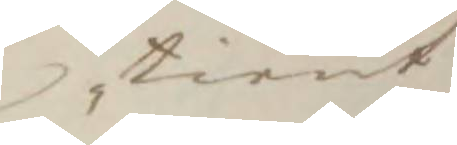tiänt
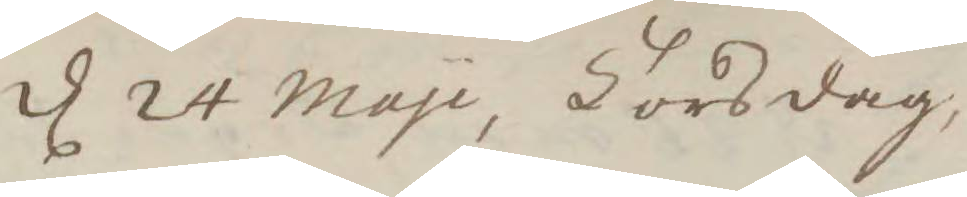d 24 Mayi, Torsdag, 
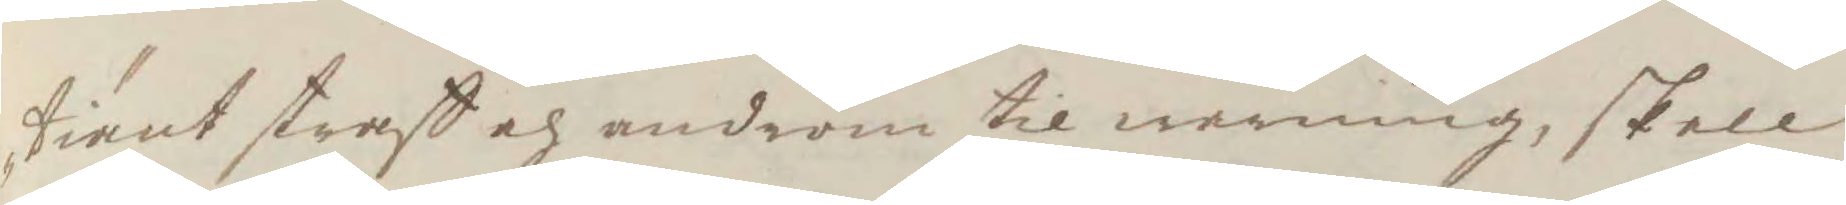tiänt straff och androm til warning, skall
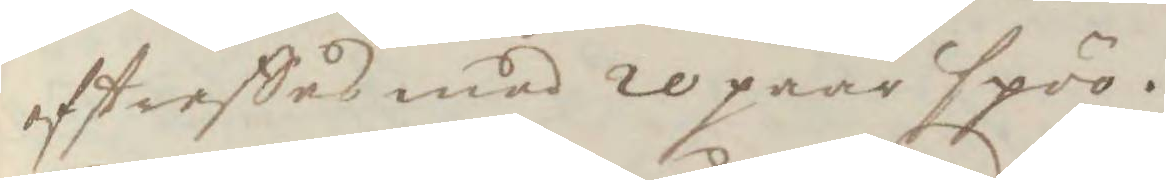aftraffas med 10 paar spöö.
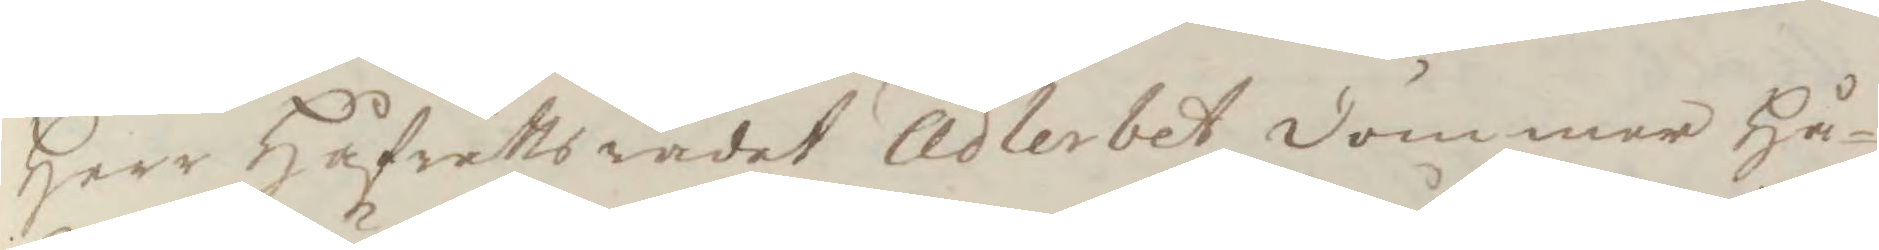Herr Håfrättsrådet Adlerbet dömmer Hå¬
